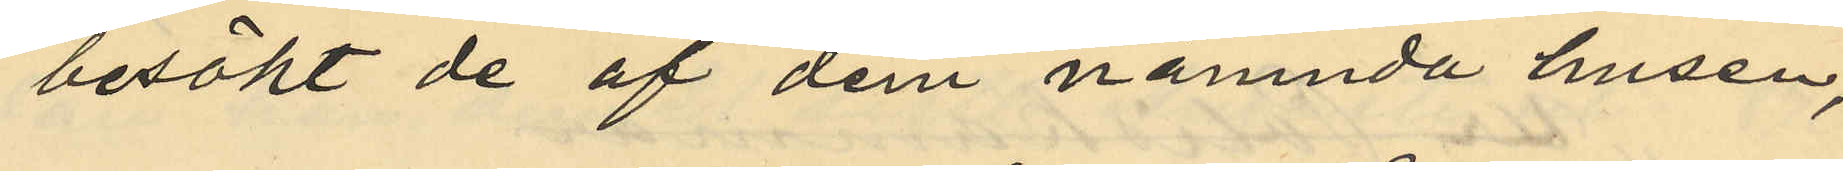besökt de af dem nämnda husen,
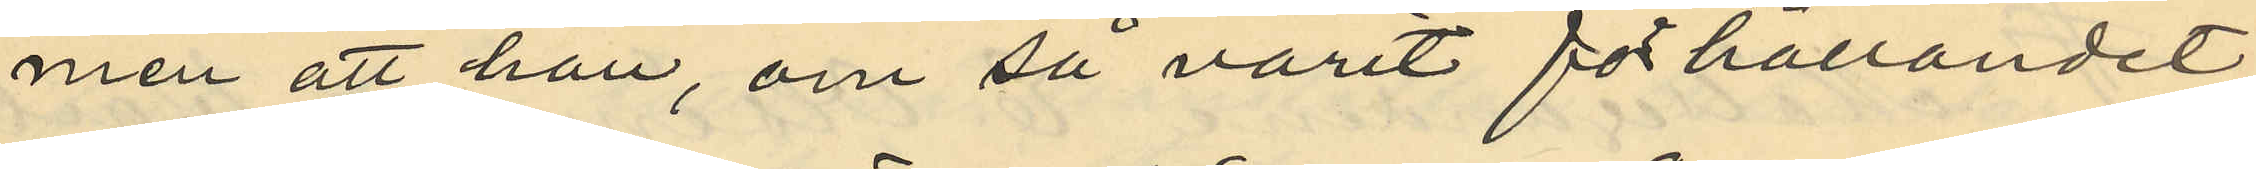men att han, om så varit förhållandet
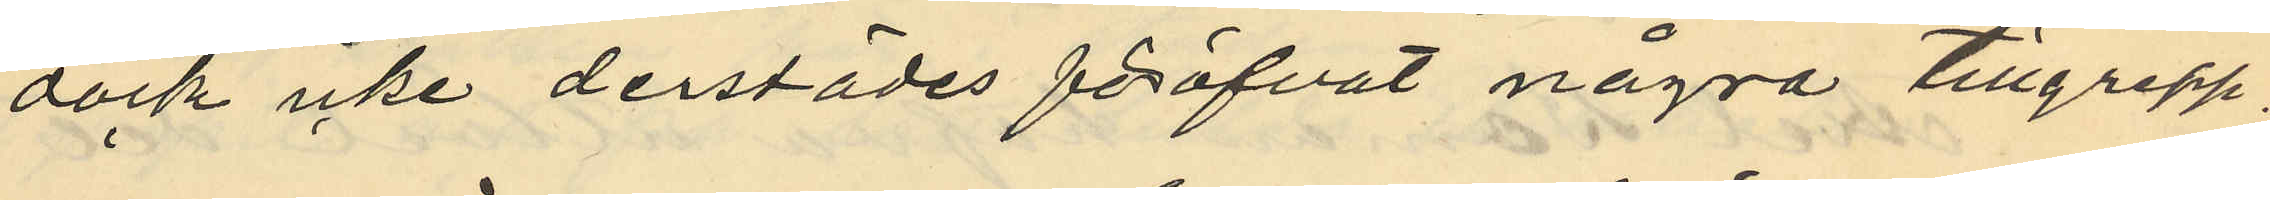dock icke derstädes föröfvat några tillgrepp,
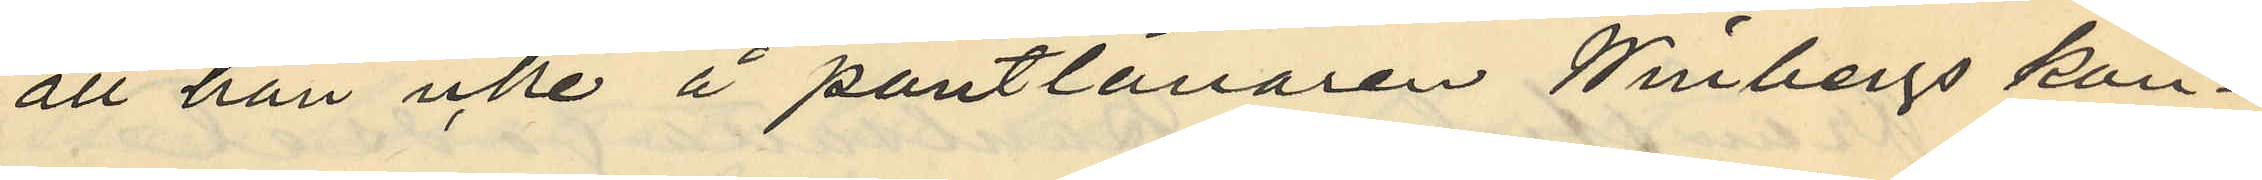att han icke å pantlånaren Winbergs kon¬
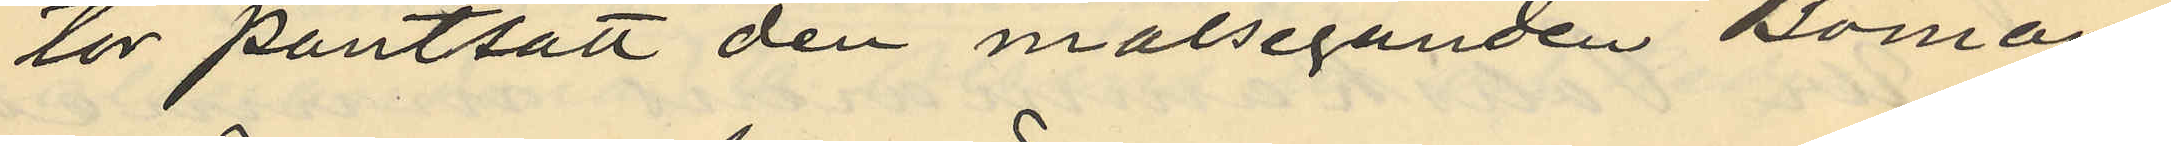tor pantsatt den målseganden boman
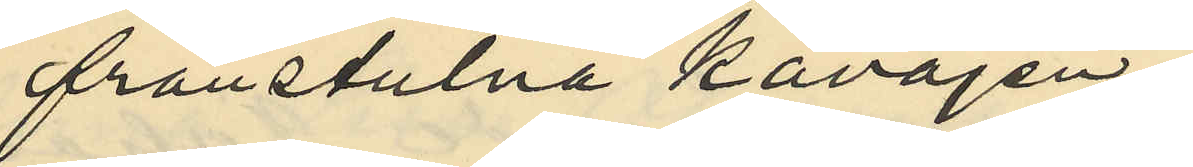frånstulna kavajen;
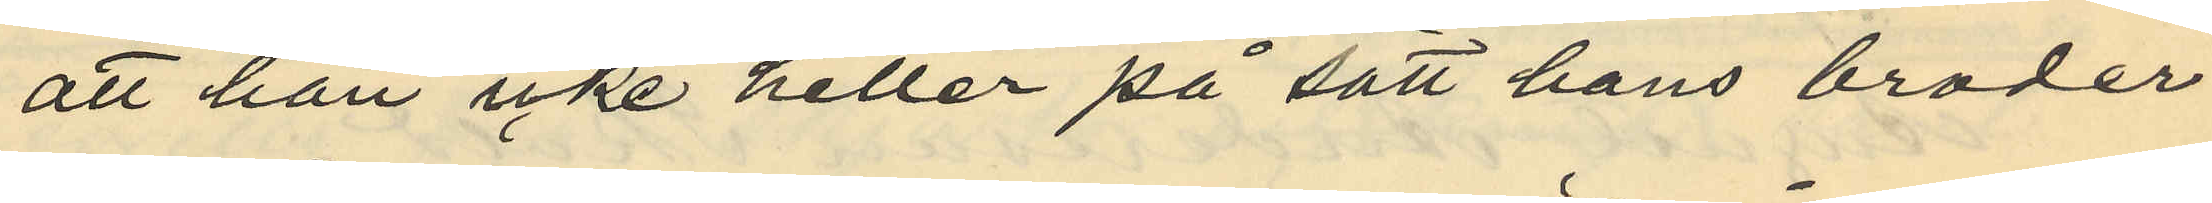att han icke heller på sätt hans broder
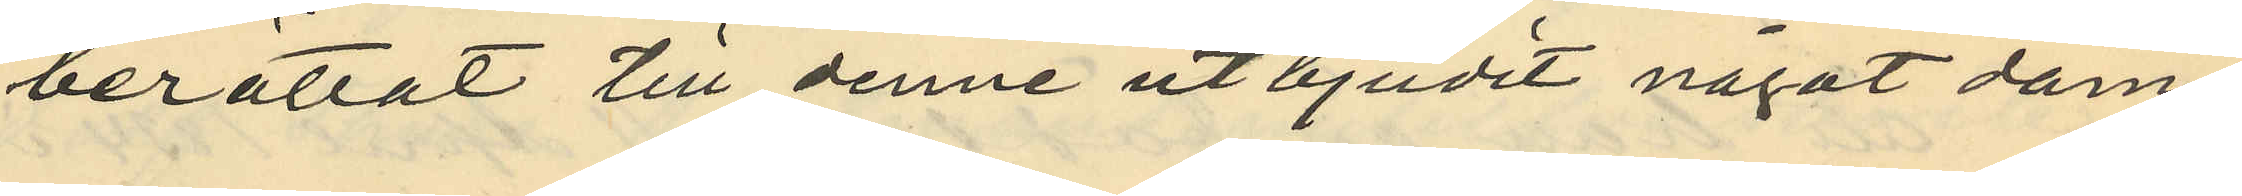berättat till denne ut bjudit något dam¬
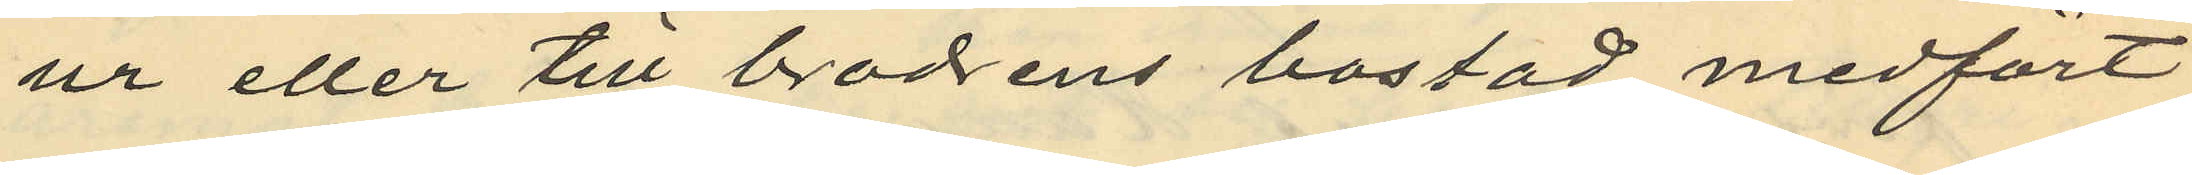ur eller till brodrens bostad medfört
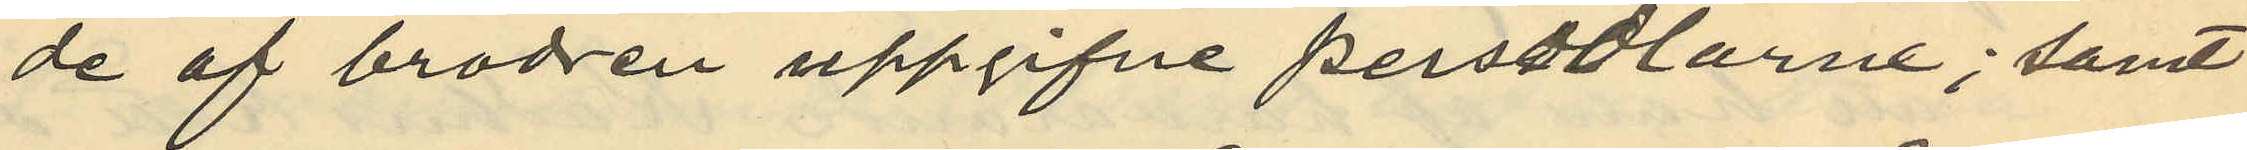de af brodren uppgifne persedlarne; samt
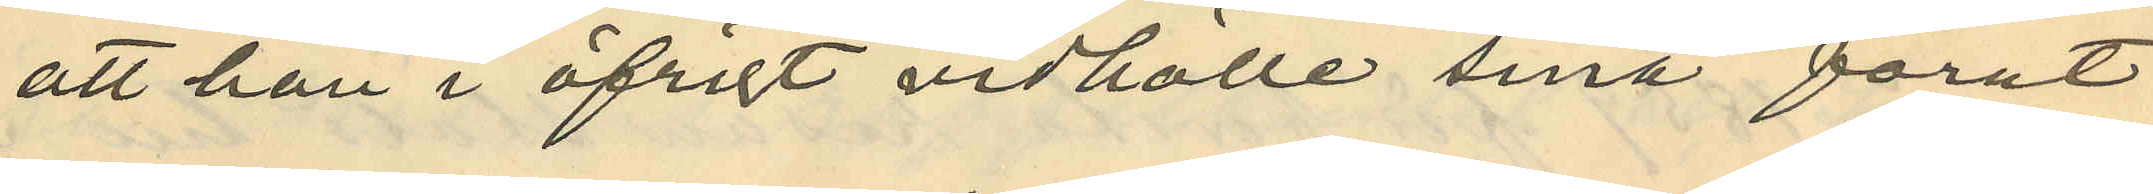att han i öfrigt vidhålle sina förut
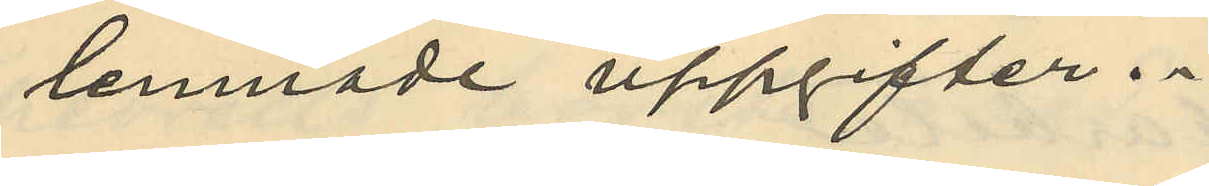lemnade uppgifter.
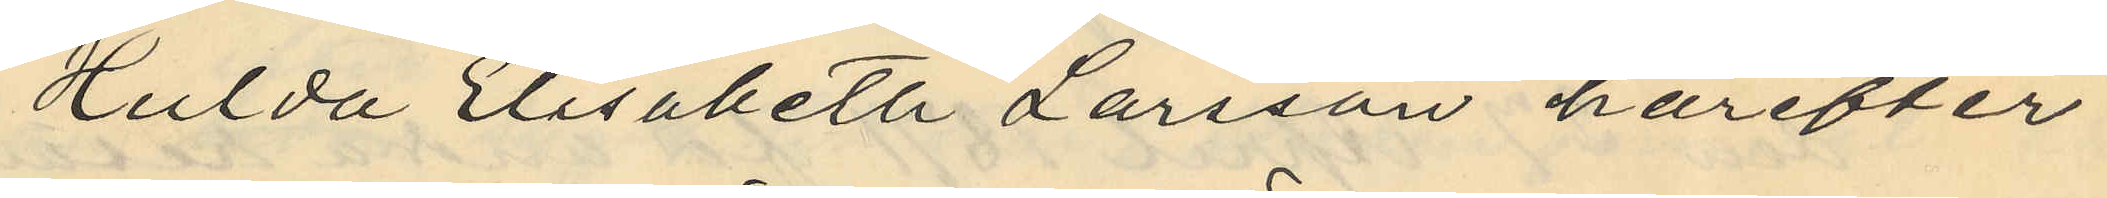Hulda Elisabeth Larsson härefter
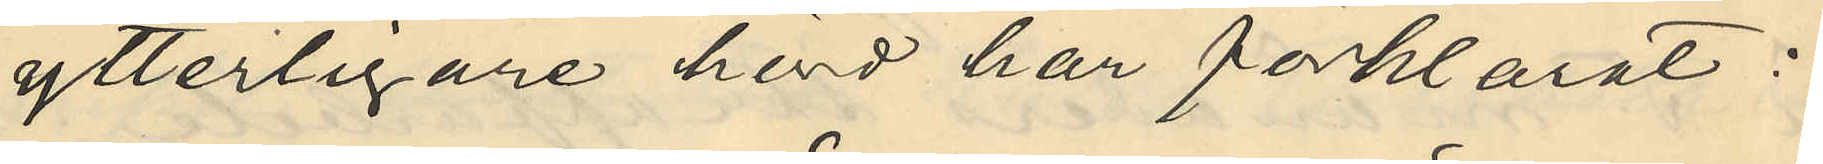ytterligare hörd har förklarat:
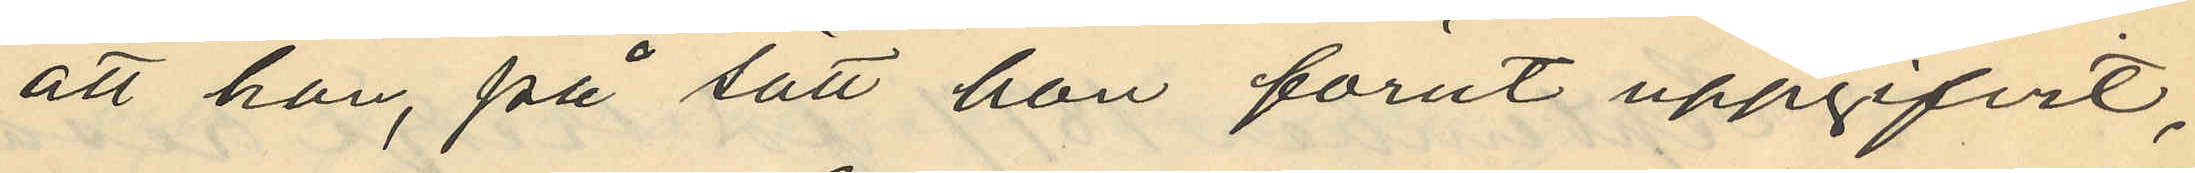att hon, på sätt hon förut uppgifvit,
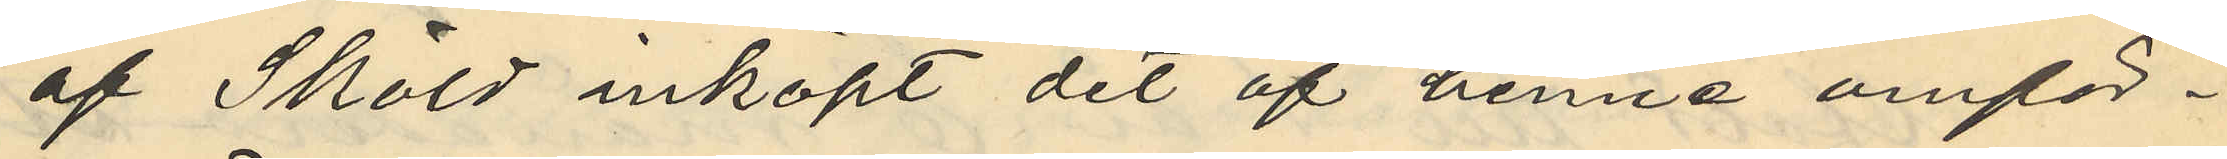af Sköld inköpt det af henne omför¬
